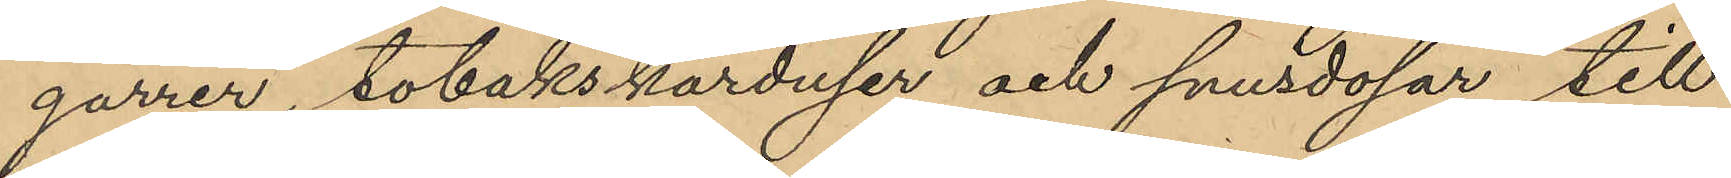garrer, tobakskarduser och snusdosar till
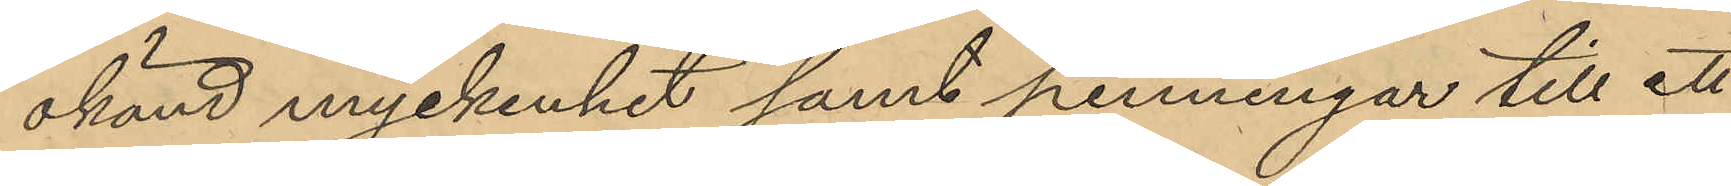okänd myckenhet samt penningar till ett
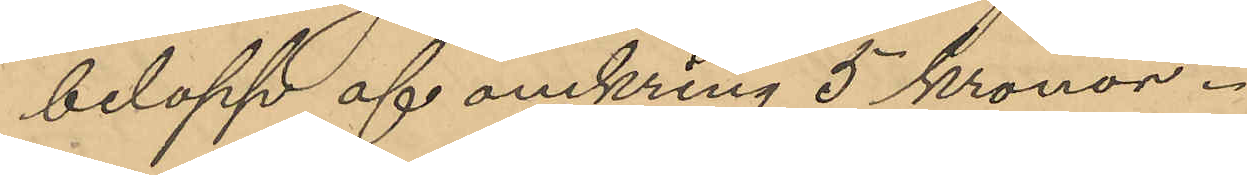belopp af omkring 5 kronor.
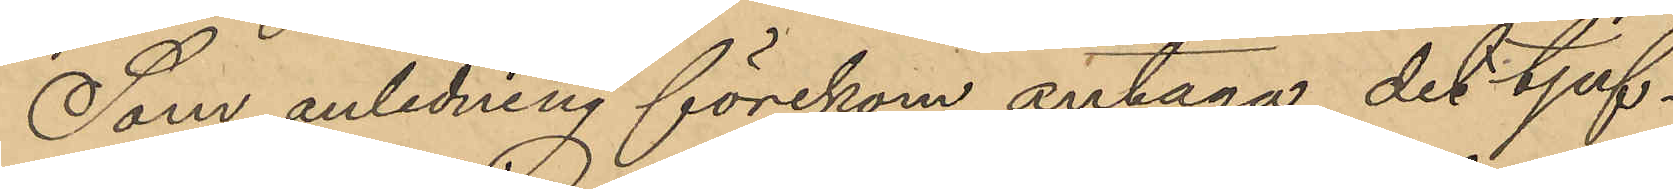Som anledning förekom antaga det tjuf¬
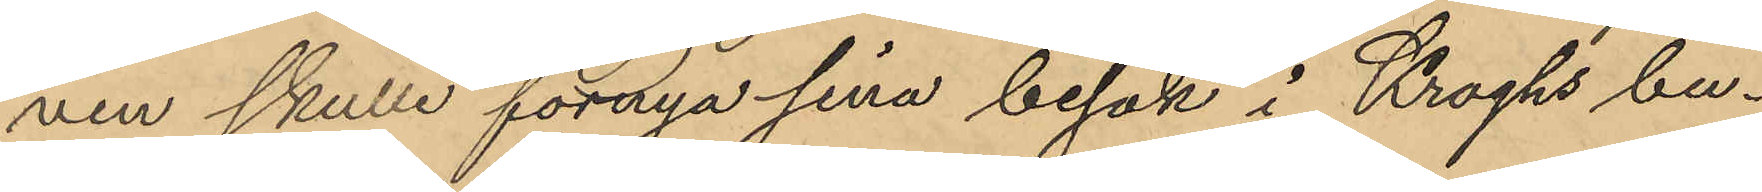ven skulle förnya sina besök i Kroghs bu¬
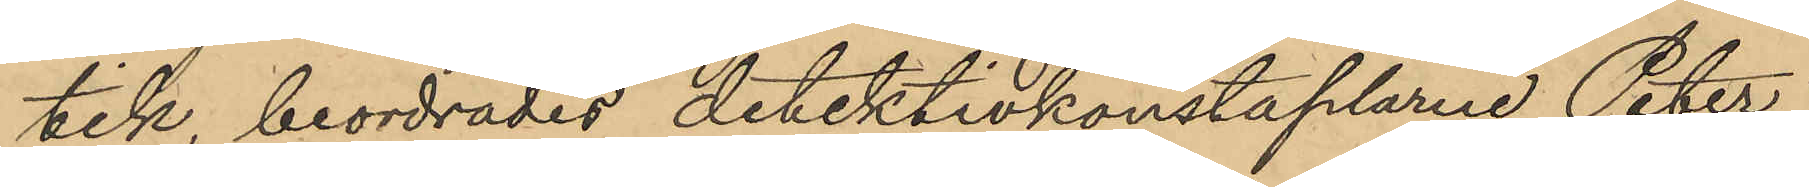tik, beordrades detektivkonstaplarne Peter
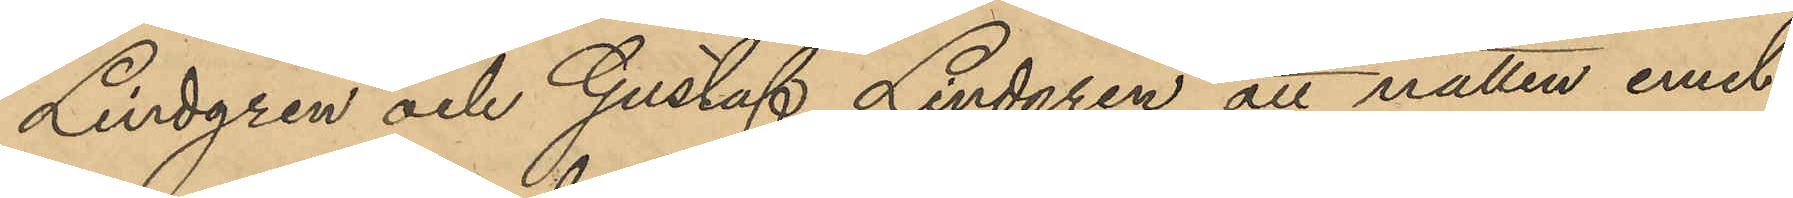Lindgren och Gustaf Lindgren att natten emel¬
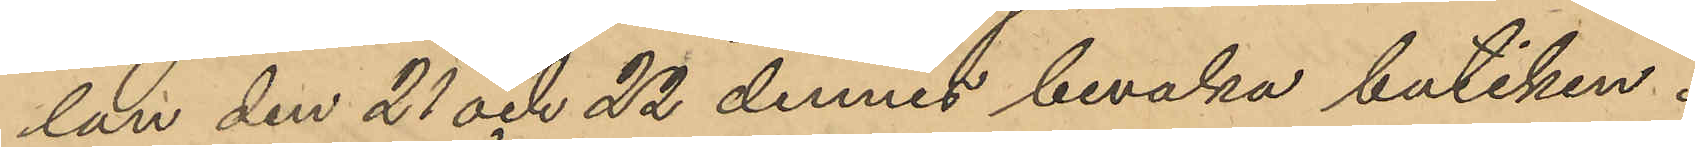lan den 21 och 22 dennes bevaka butiken.
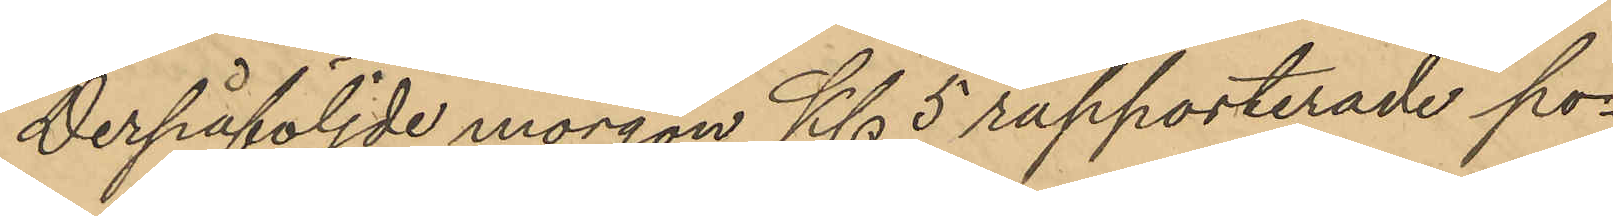Derpåföljde morgon Kl. 5 rapporterade po¬
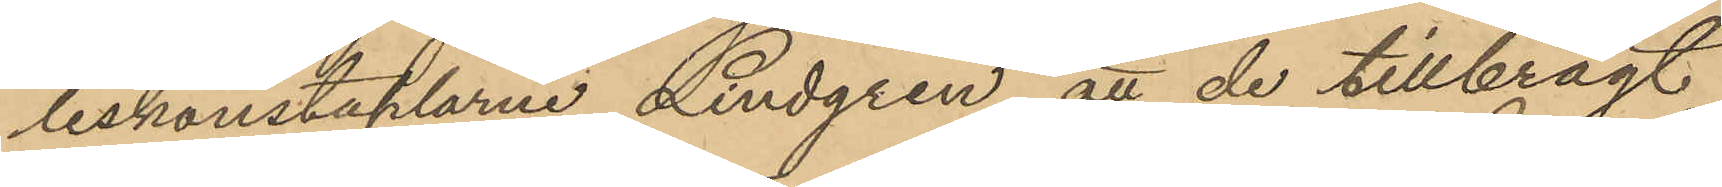liskonstaplarne Lindgren, att de tillbragt
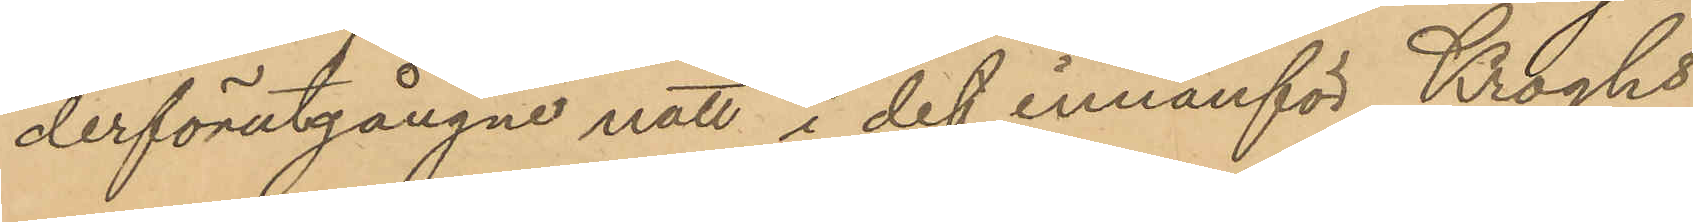derförutgångne natt i det innanför Kroghs
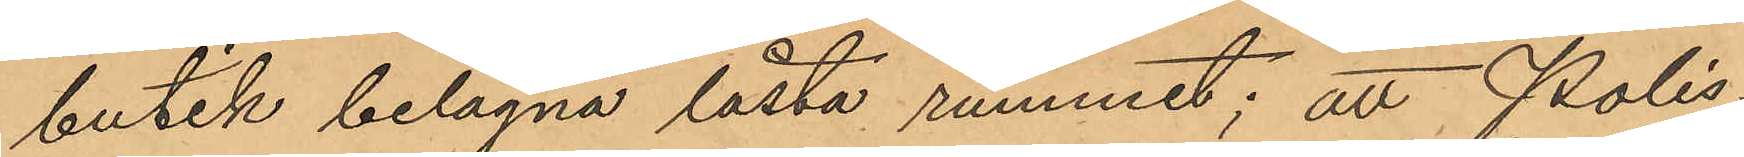butik belägna låsta rummet; att Polis¬
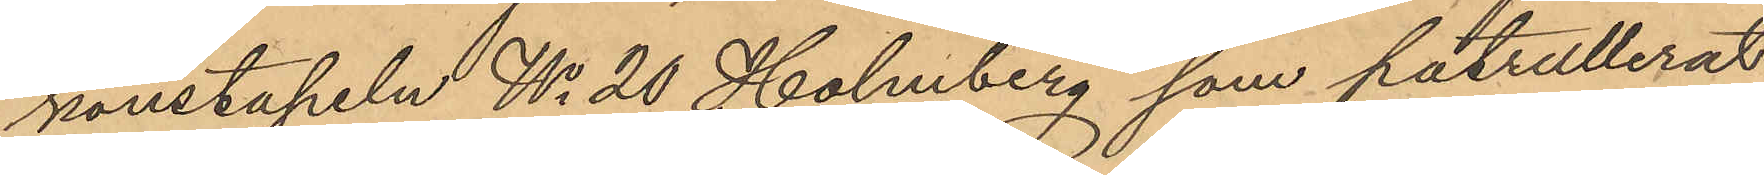konstapeln No 20 Holmberg som patrullerat
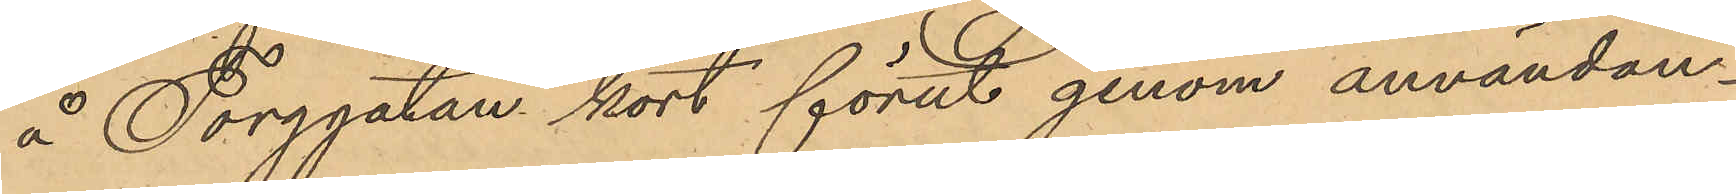å Torggatan kort förut genom användan¬
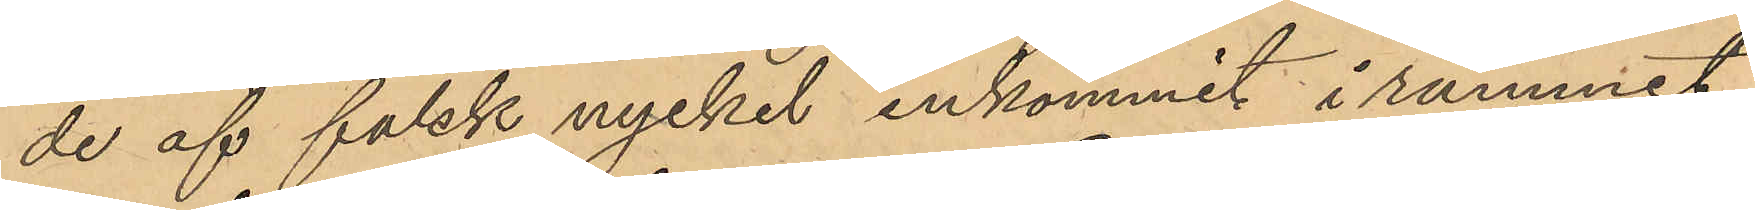de af falsk nyckel inkommit i rummet;
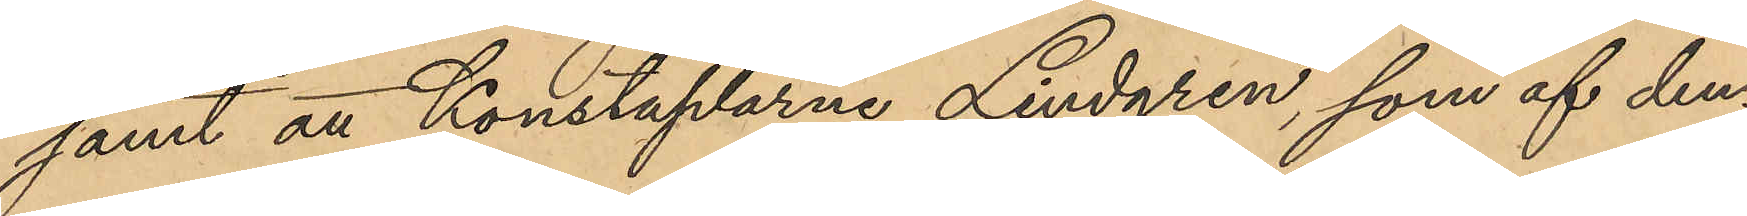samt att Konstaplarne Lindgren, som af den¬
